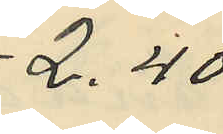2.40
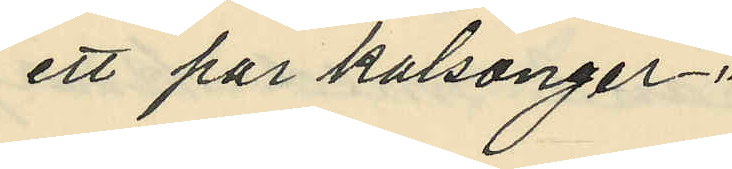ett par kalsonger -"
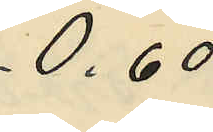0.60
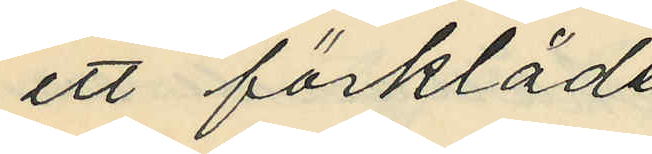ett förkläde
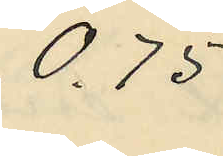0.75
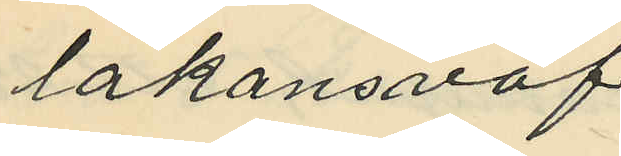lakansväf
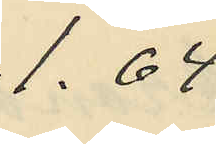1.64
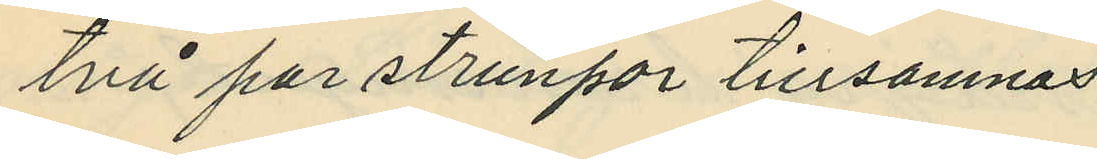två par strunpor tillsamnas
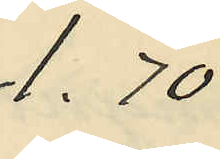1.70
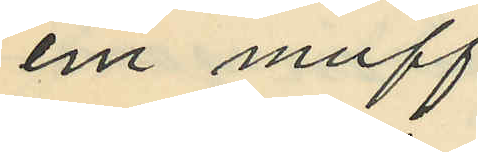em muff
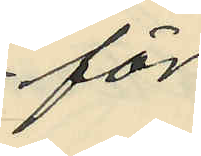för
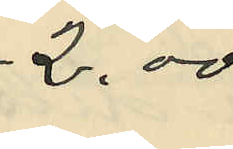2.00
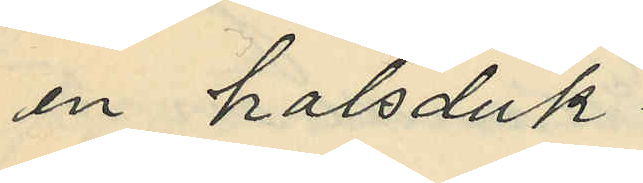en halsduk
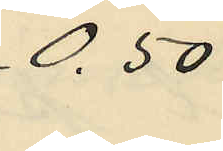0.50
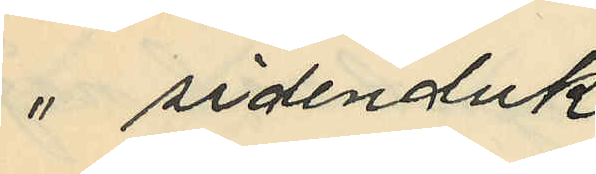" sidenduk
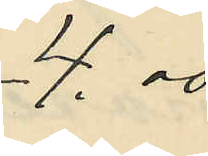4.00
